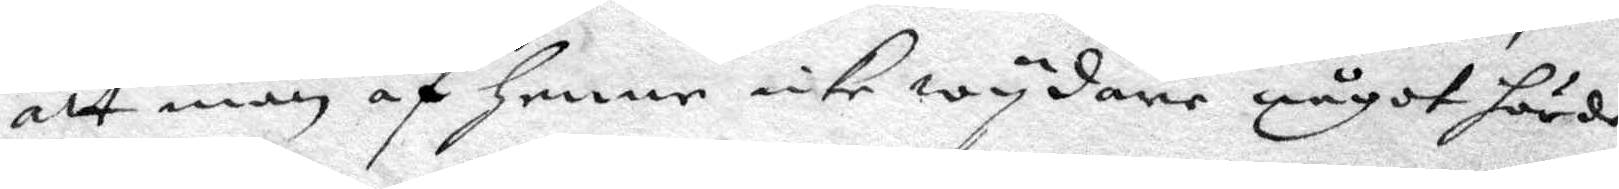att man af henne icke wydare något hörde)
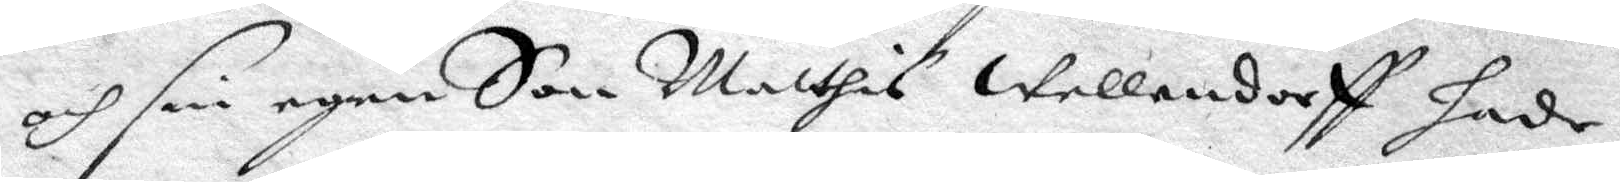och sin egen Son Matthis Wellendorff hade
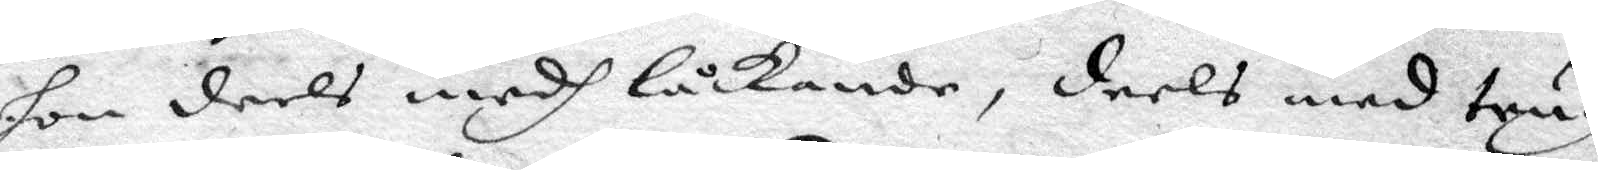hon deels medh låckande, deels med trug
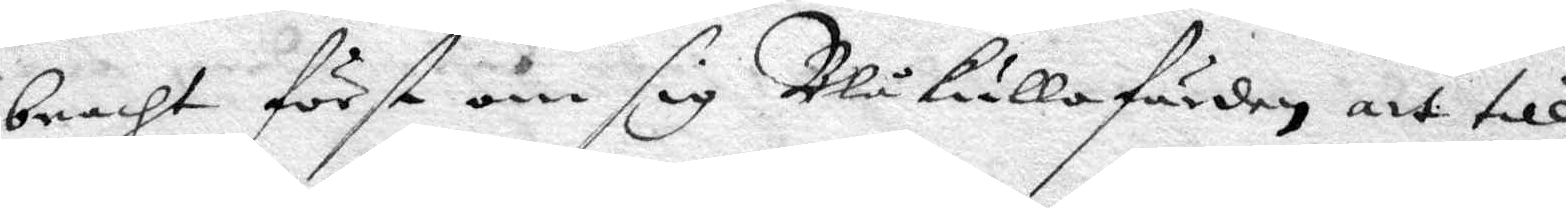bracht först om sig Blåkullafärden, att till¬
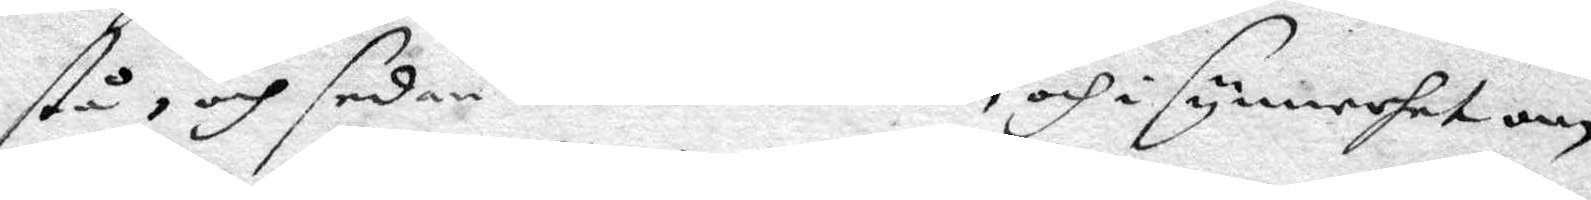stå, och sedan det om andra, och i synnerhet om
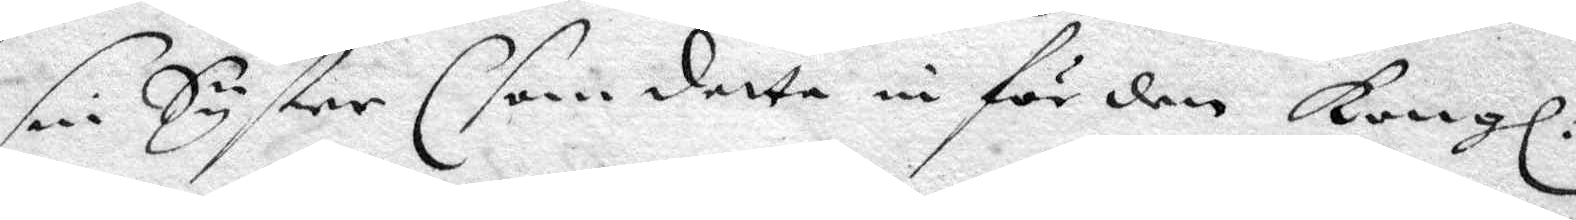sin Syster (som detta in för den Kongl.
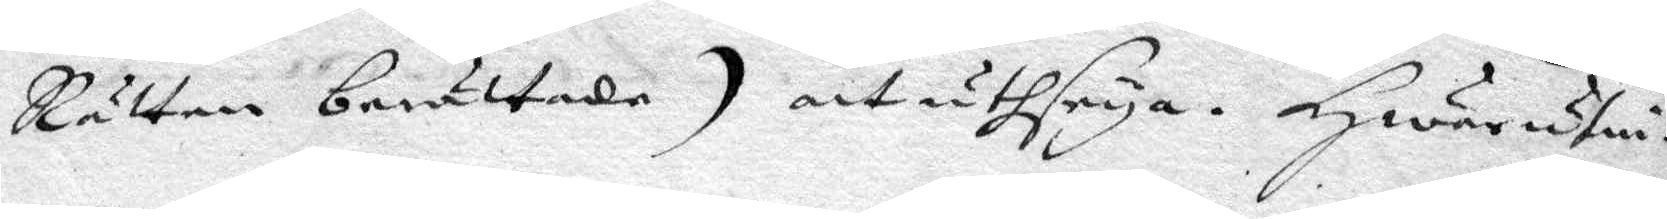Rätten berättade) att uthseya. Hwarutin¬
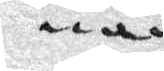nan
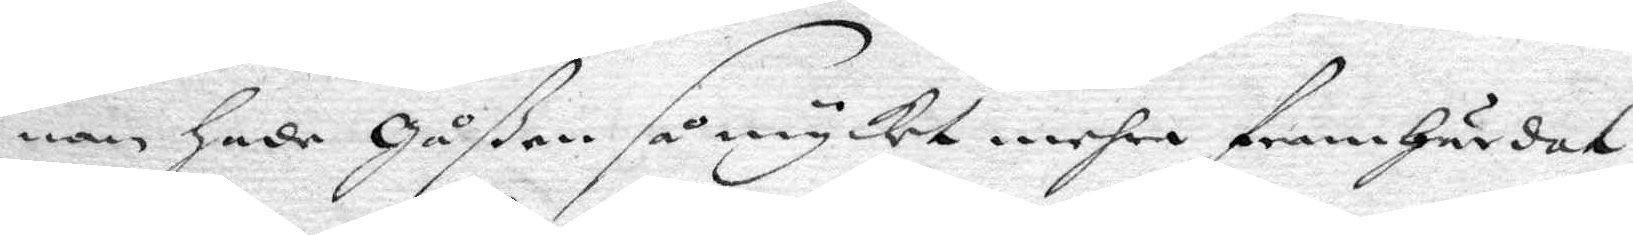nan hade Gåßen så mycket mehra framhärdat
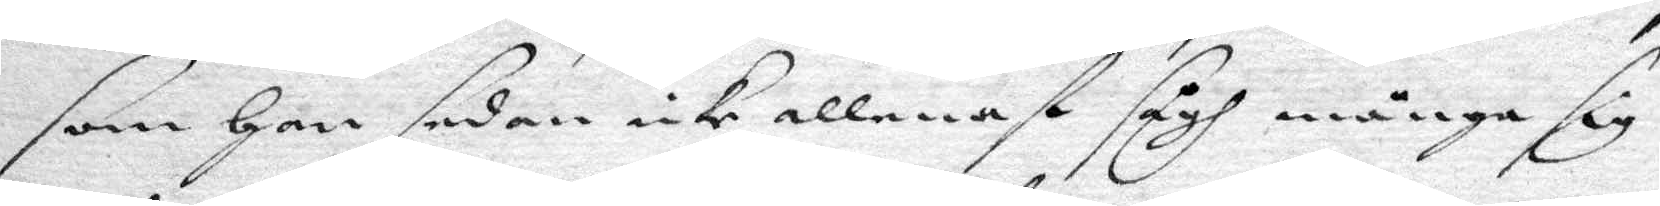som Hon sedan icke allenast sigh många sig
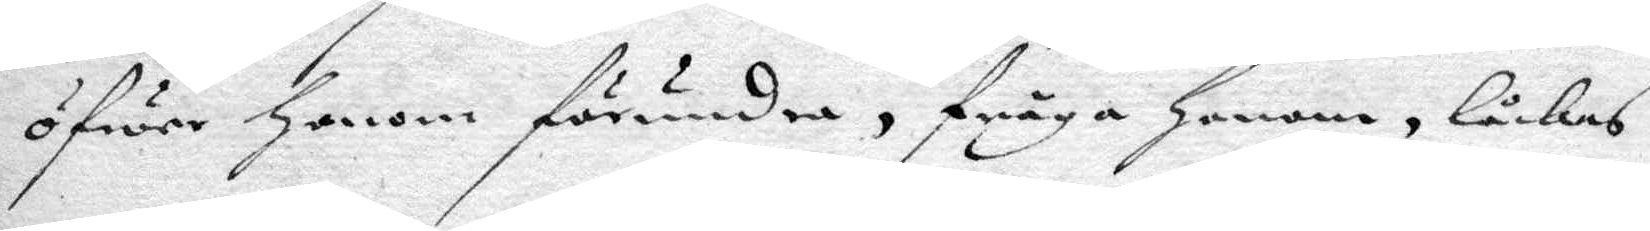öfwer Honom förundra, fråga Honom, låckes
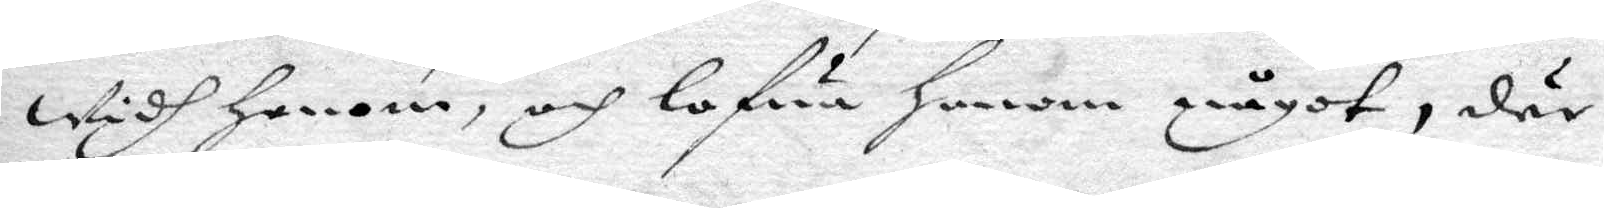widh Honom, och lofwa honom något, där
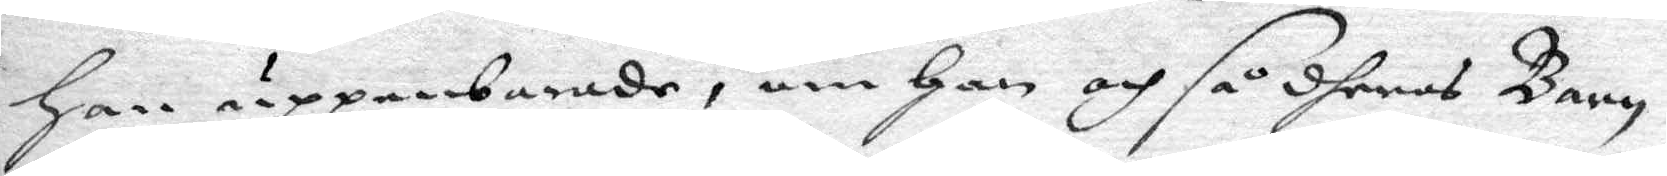han uppenbarade, om Han och så dheras Barn
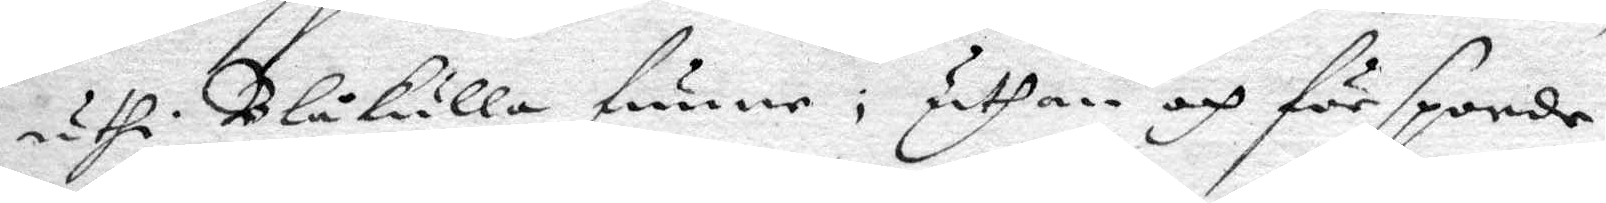uthi Blåkulla funne, uthan och försporde
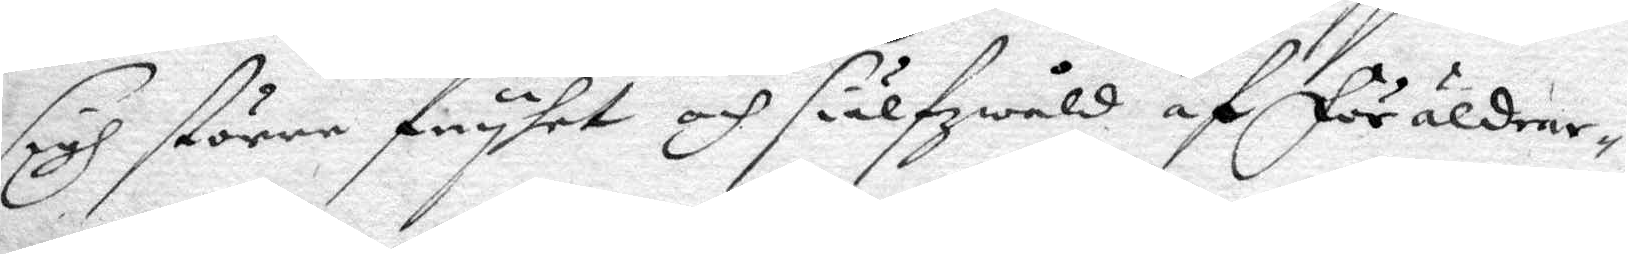sigh större fryhet och siälfzwåld af föräldrar¬
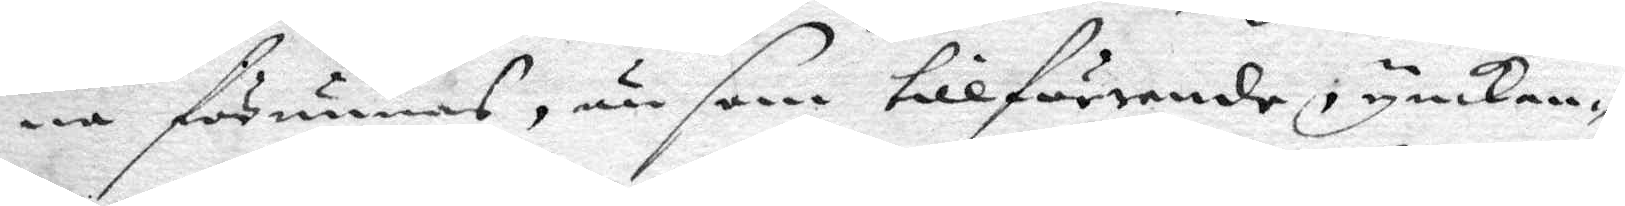na förunnas, än som tillförende, ynkan¬
